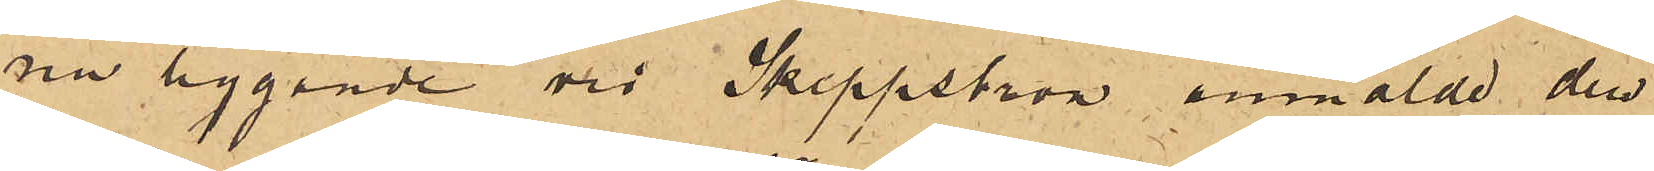nu liggande vid Skeppsbron anmälde den
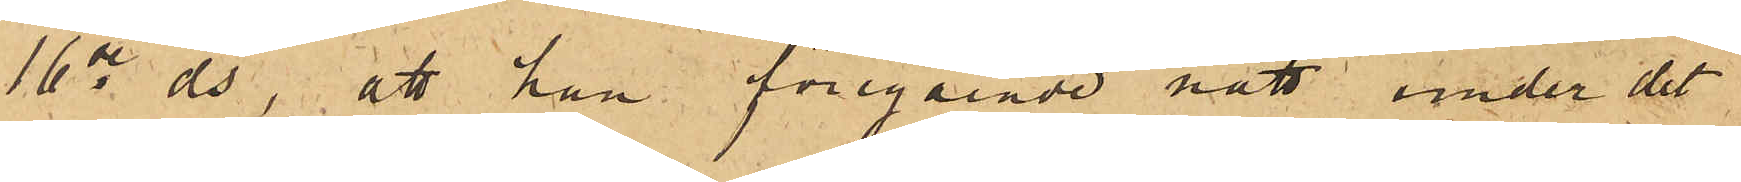16de ds, att han föregående natt under det
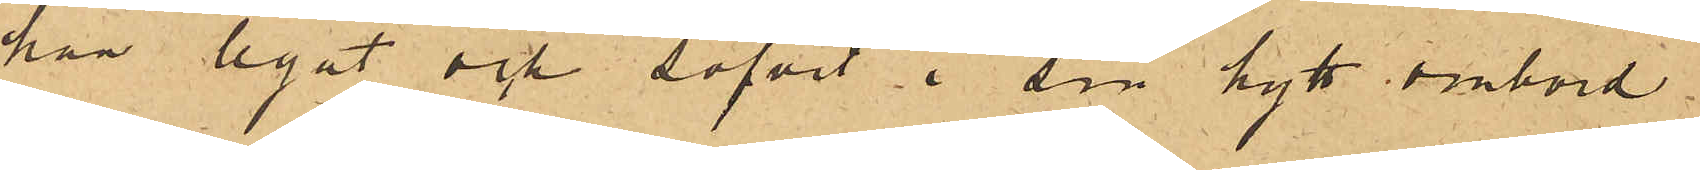han legat och sofvit i sin hytt ombord
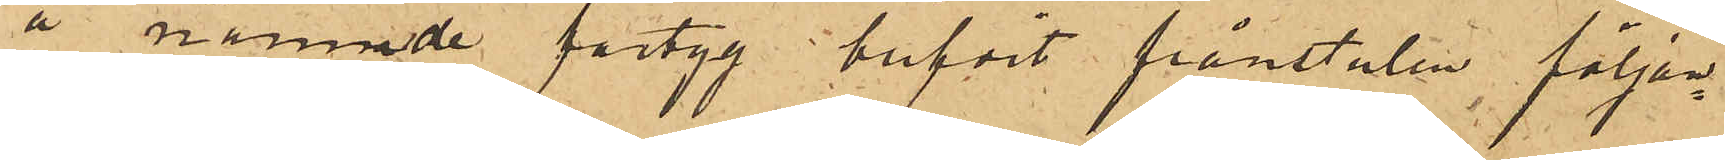å nämnde fartyg blifvit frånstulen följan¬
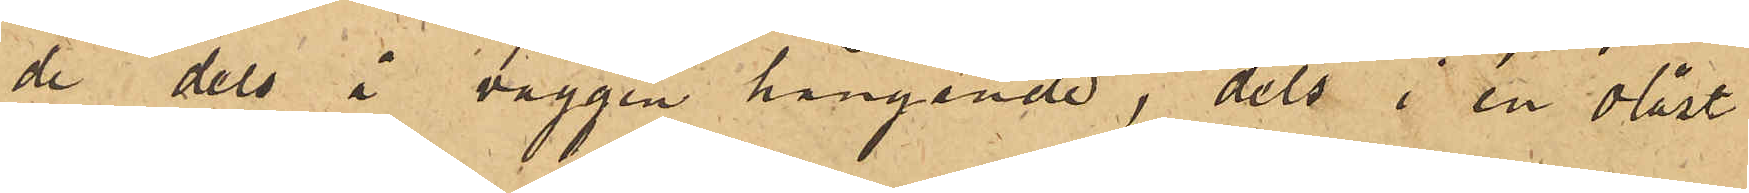de dels å väggen hängande, dels i en olåst
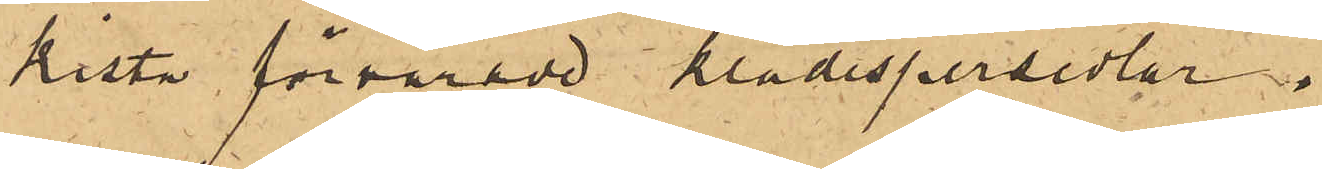kista förvarade klädespersedlar:
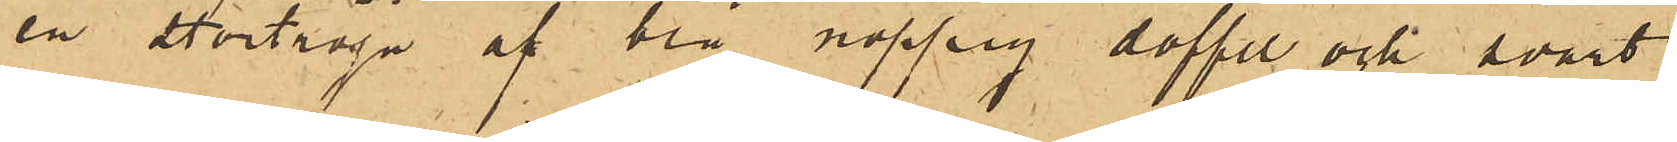en stortröja af brå nopprig doffel och svart
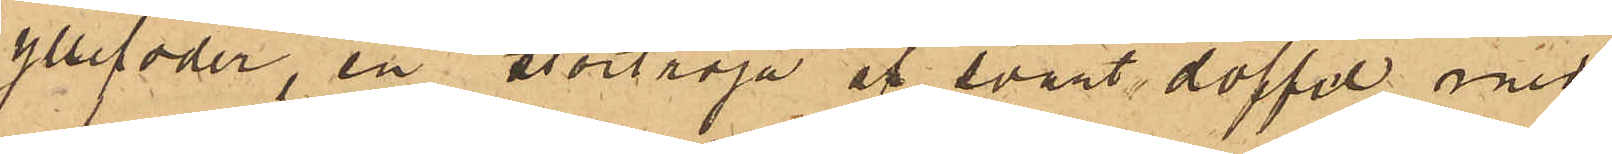yllefoder, en stortröja af svart doffel med
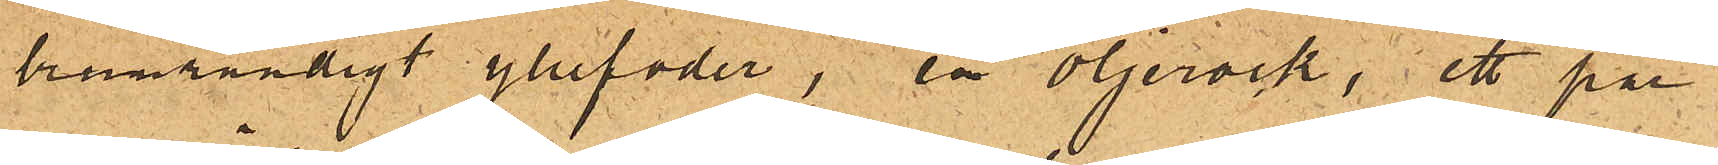brunrandigt yllefoder, en oljerock, ett par
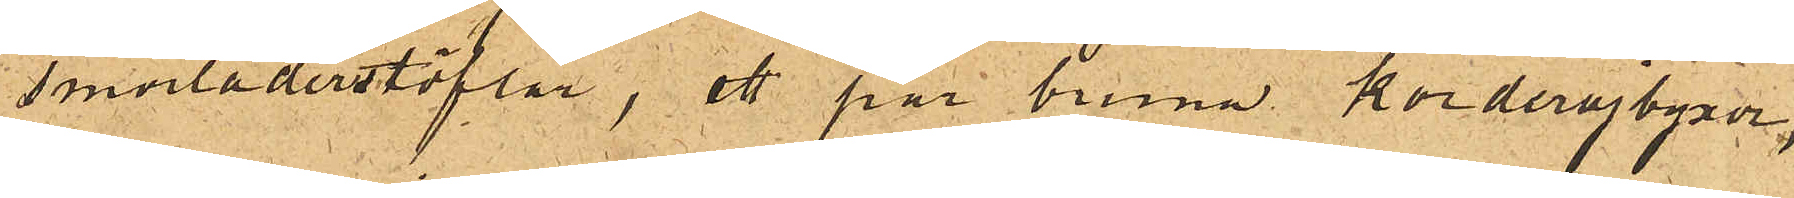smorläderstöflar, ett par bruna korderojbyxor,
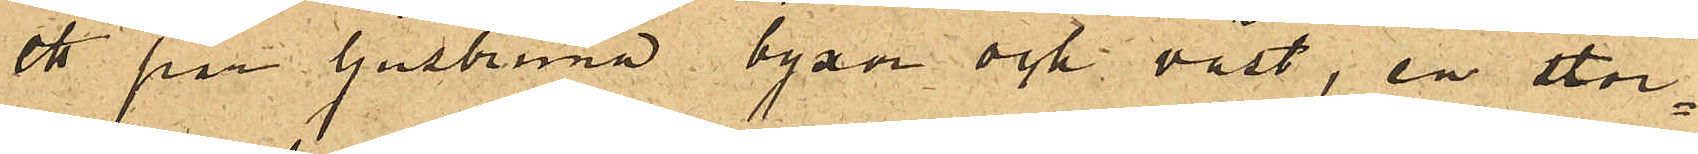ett par ljusbruna byxor och väst, en stor¬
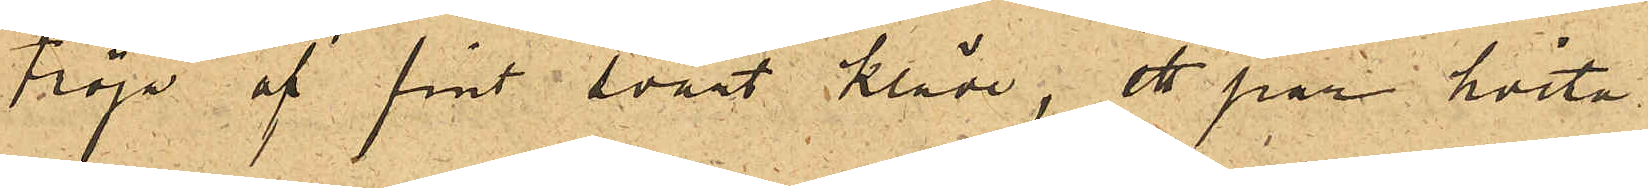tröja af fint svart kläde, ett par hvita
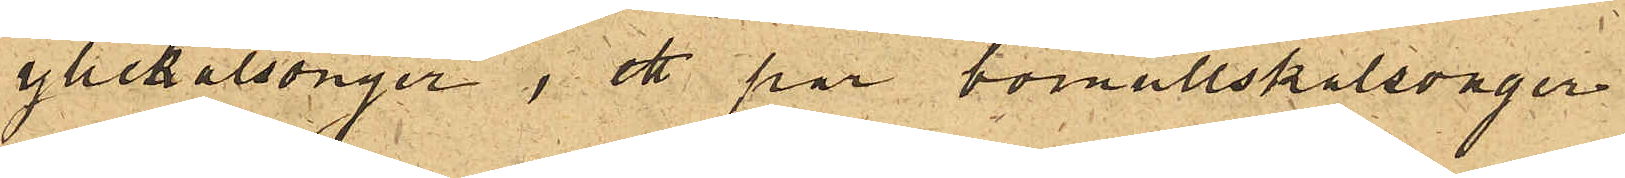yllekalsonger, ett par bomullskalsonger
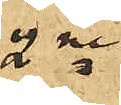2ne
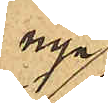nya
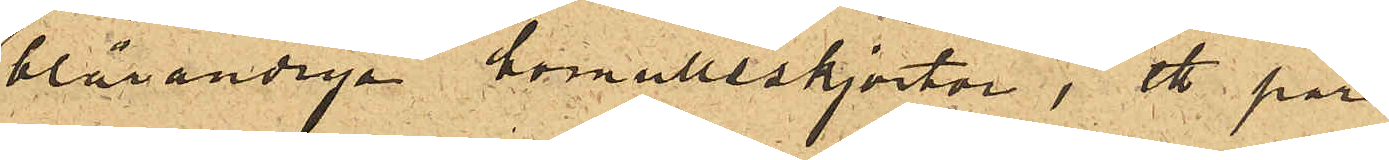blårandiga bomullsskjortor, ett par
